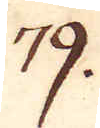79.
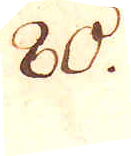80.
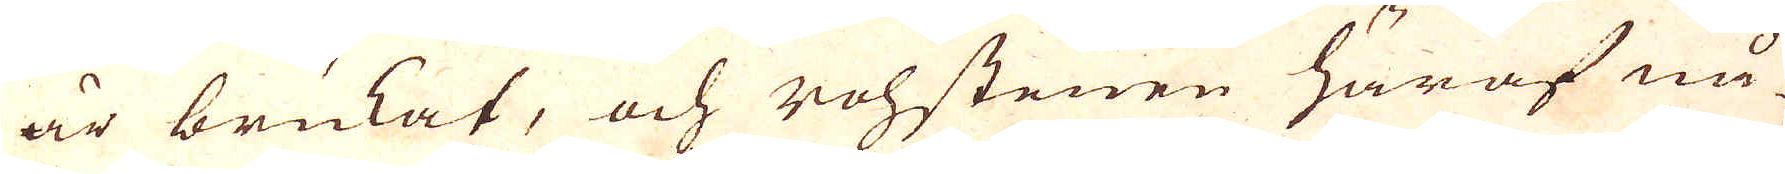är brukat, och rohstenen häraf nå-
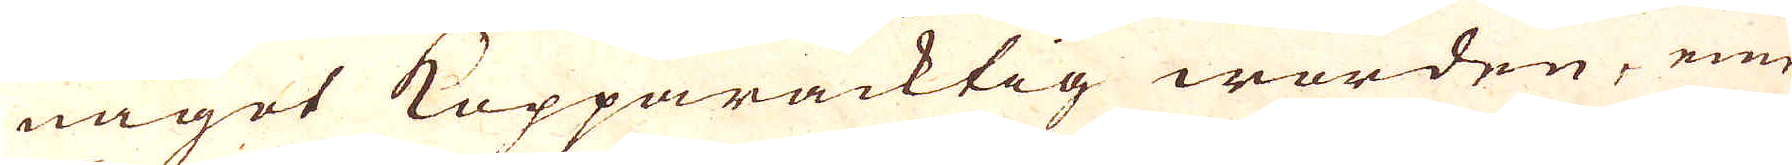någet Kopparacktig worden, eme-
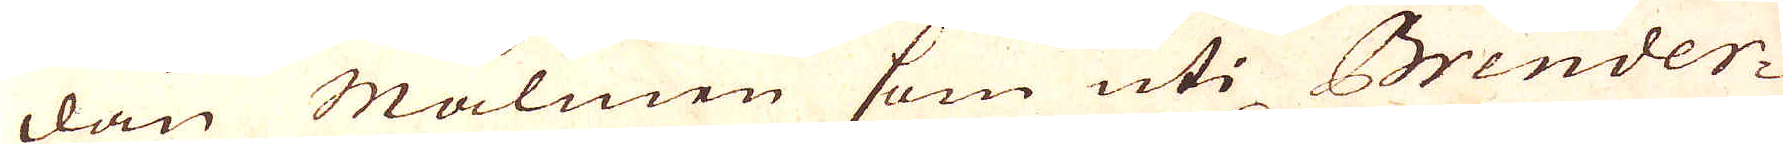dan Malmen som uti Brender-
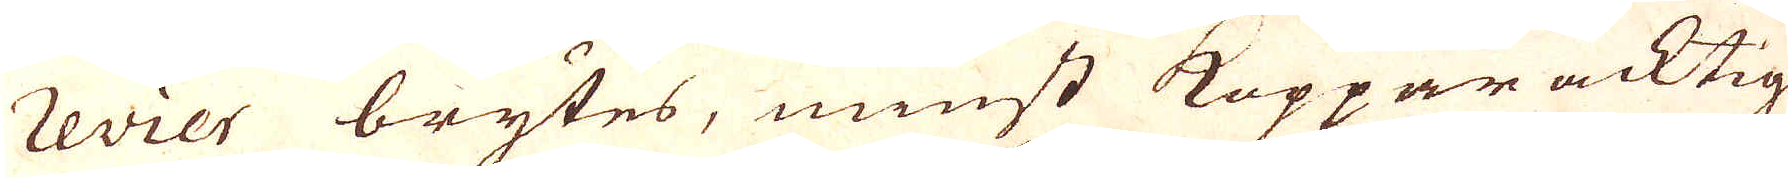revier brytes, minst Koppar acktig
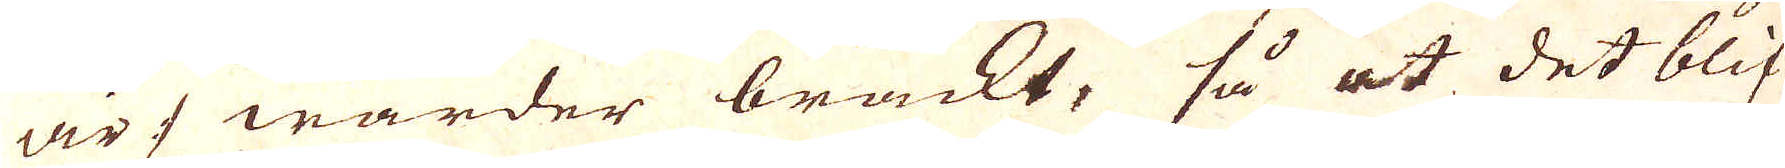är :/ warder brackt, så at det blif-
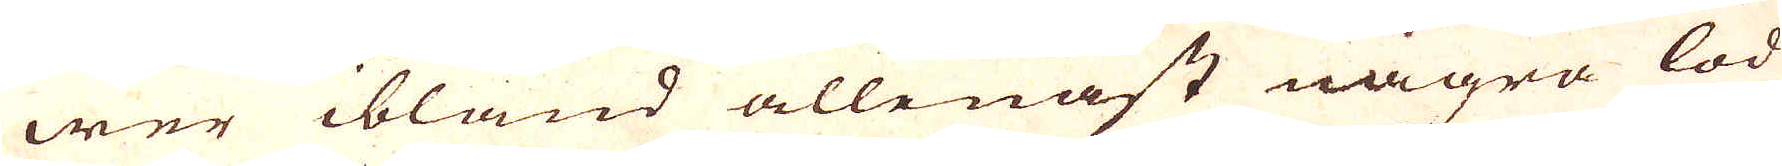wer ibland allenast några lod
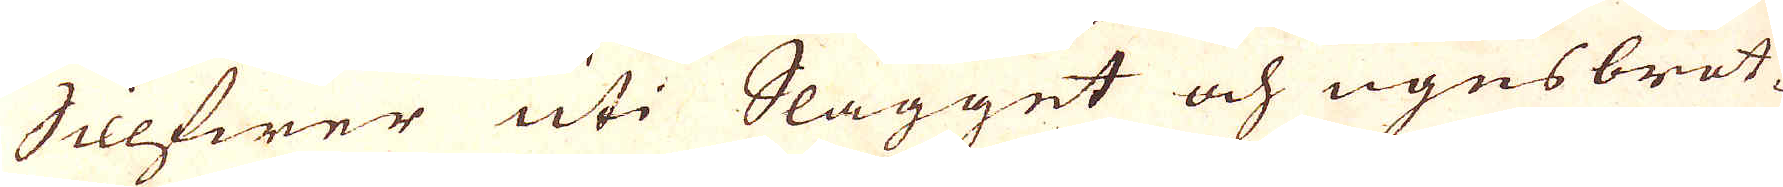Sillfwer uti Slagget och ugnsbrot-
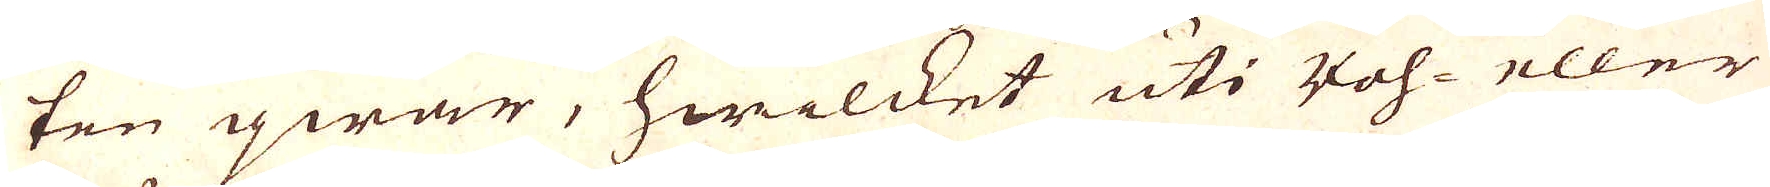ten qwar, hwilcket uti Roh- eller
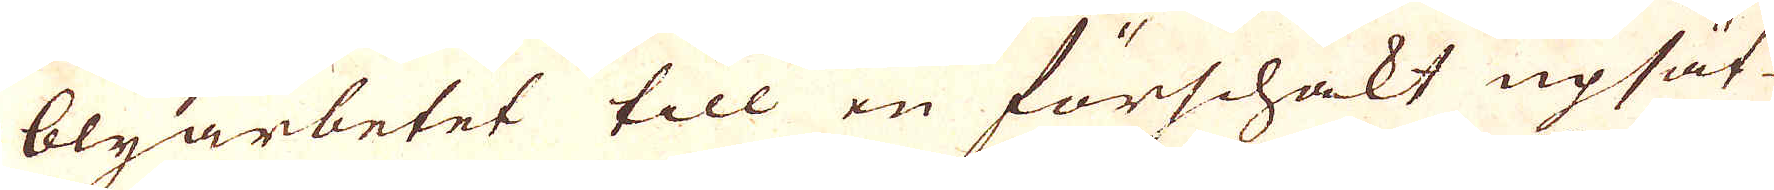blyarbetet till en förschakt upsät-
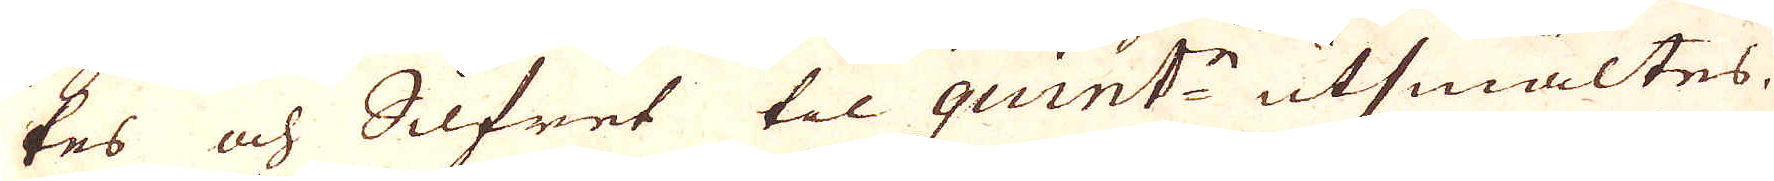tes och Silfret til quint:n utsmältes.
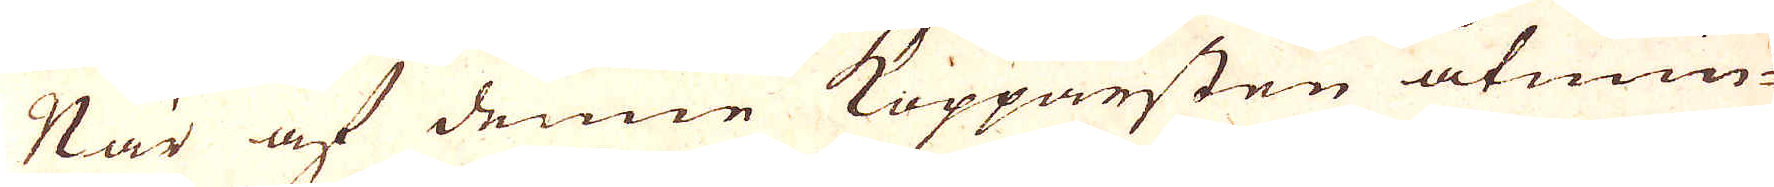När af denne Kopparsten åtmin-
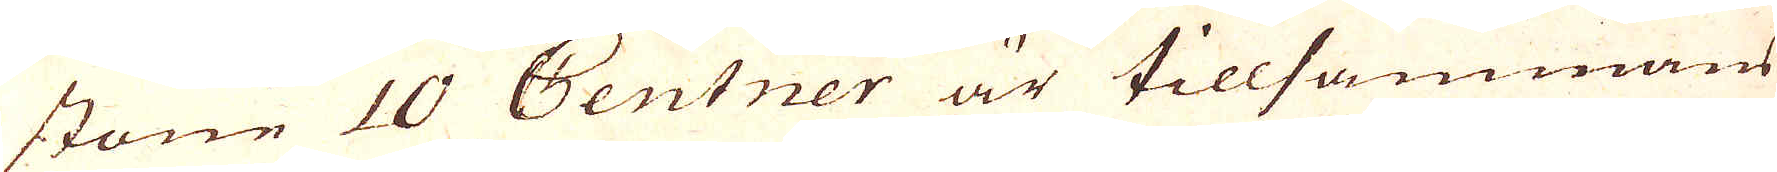stone 10 Centner är tillsammans
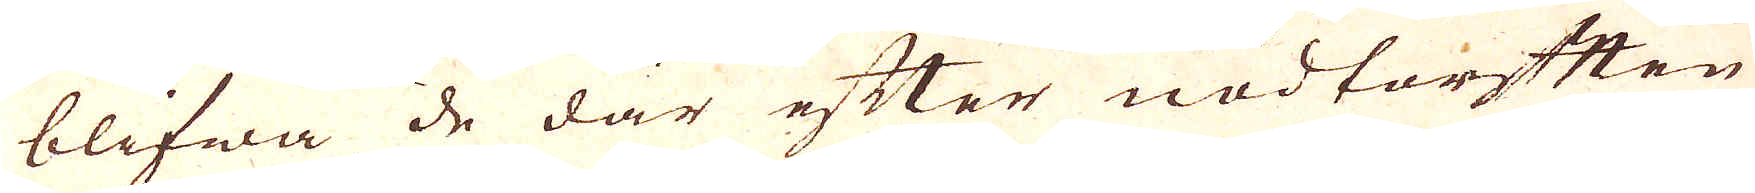blifwa de där efter nödtorften
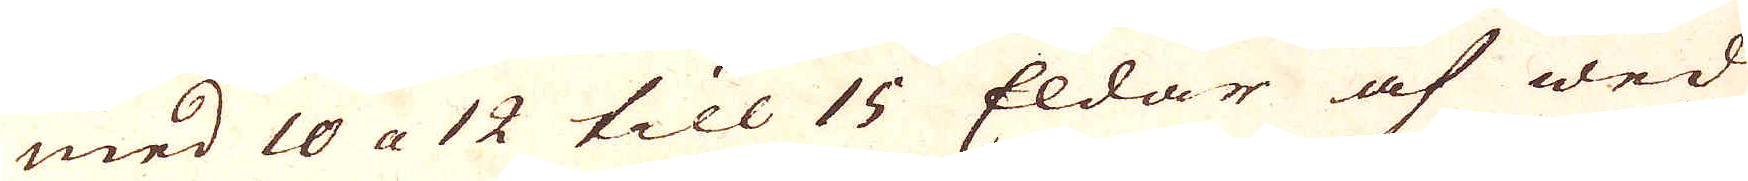med 10 a 12 till 15 Eldar af wed
